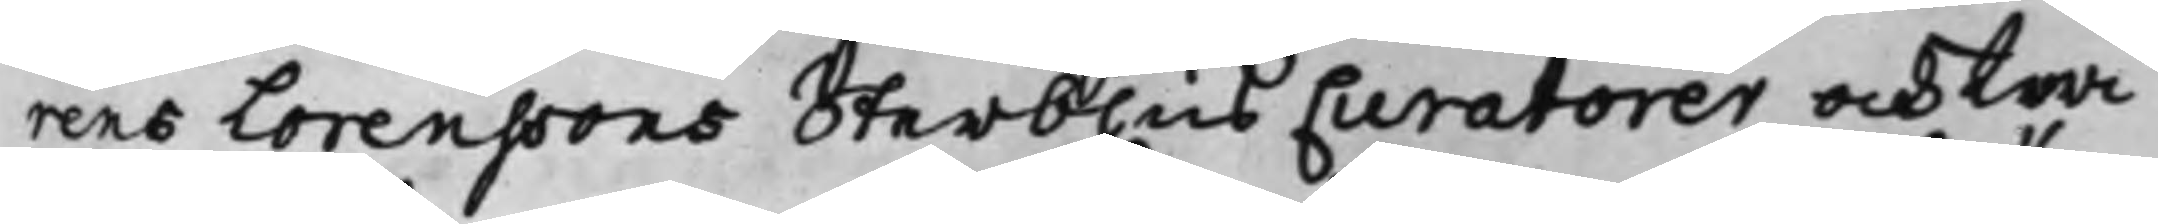rens Lorenssons Sterbhus Curatorer och twi¬
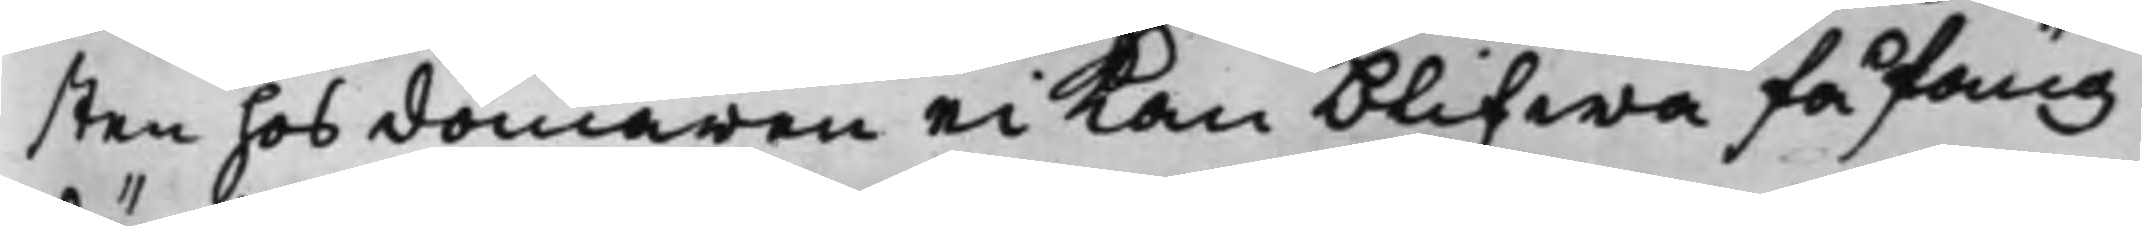sten hos domaren ei Kan blifwa fåfäng
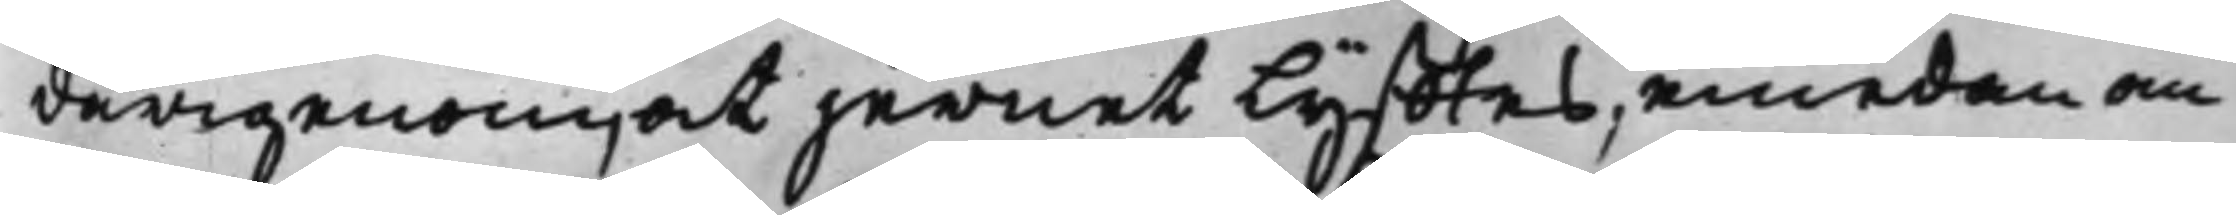därigenom, at jernet lyfftes, emedan an
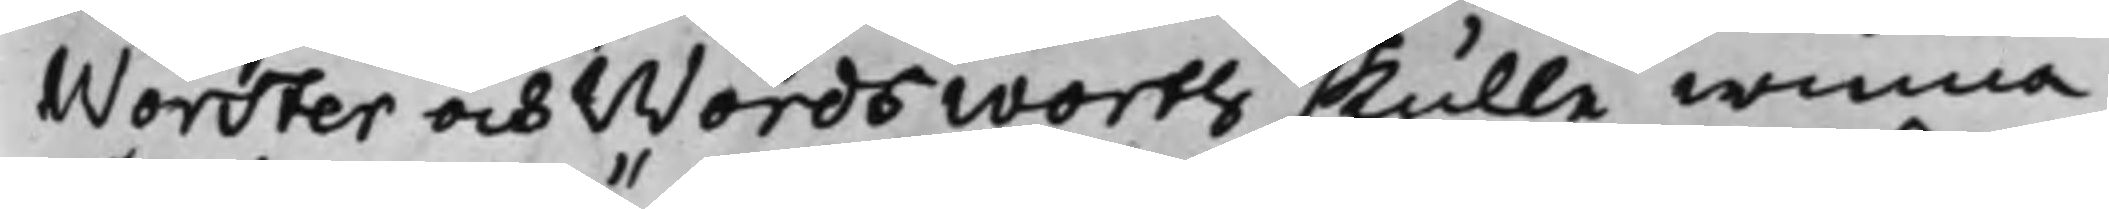Worster och Wordsworth skulle winna
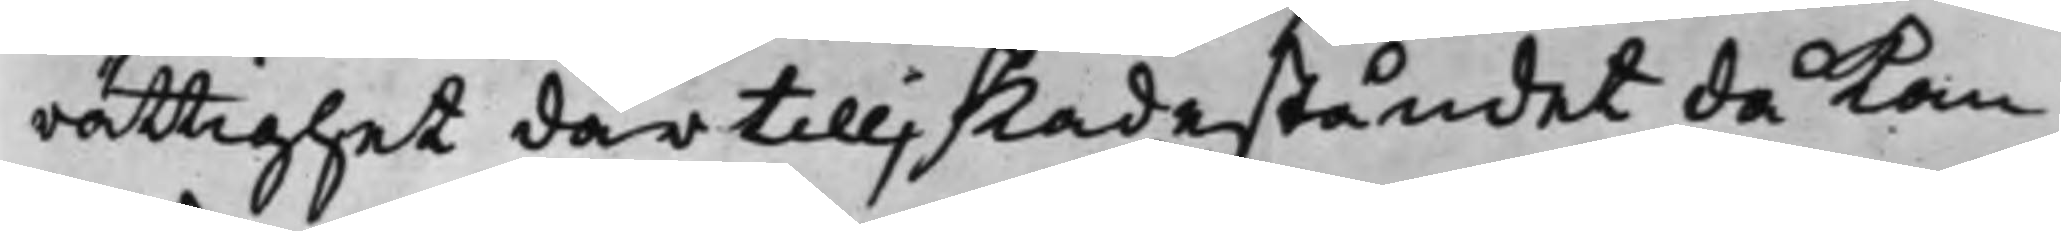rättighet därtill; skadeståndet då kan
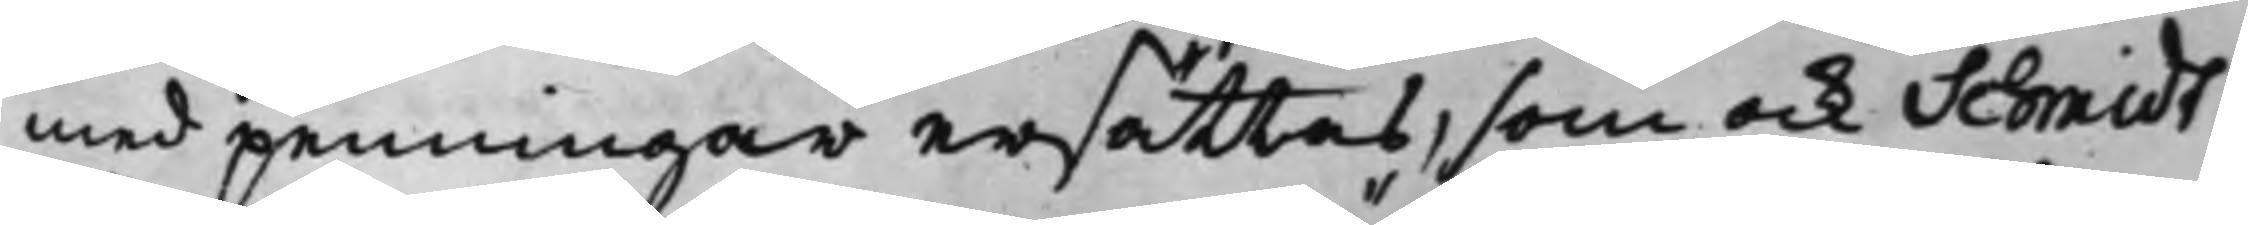med penningar ersättas, som och Schmidt
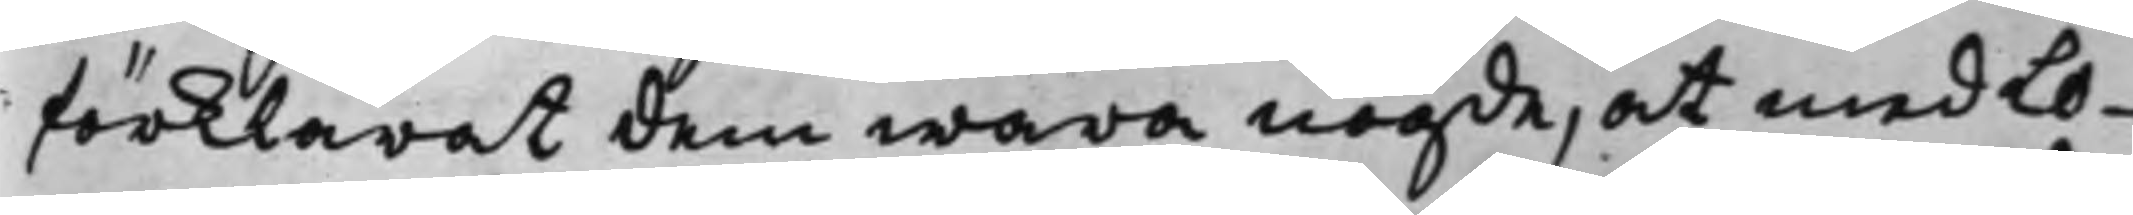förklarat dem wara nögde, at med Lo¬
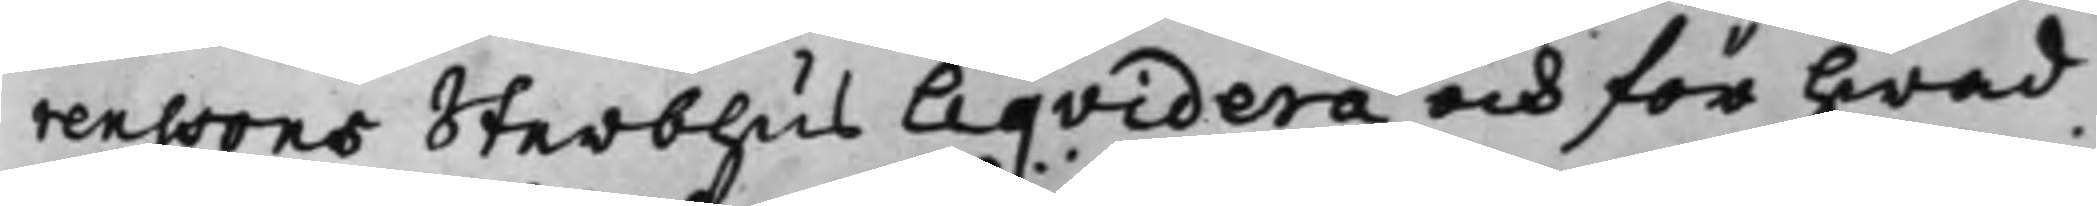renssons Sterbhus Liqvidera och för hwad
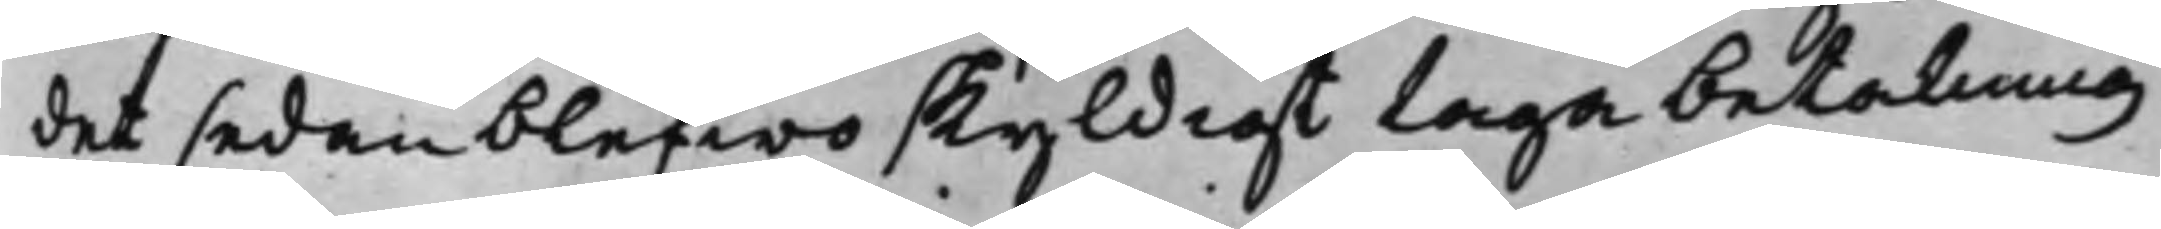det sedan blefwo skyldigt taga betalning
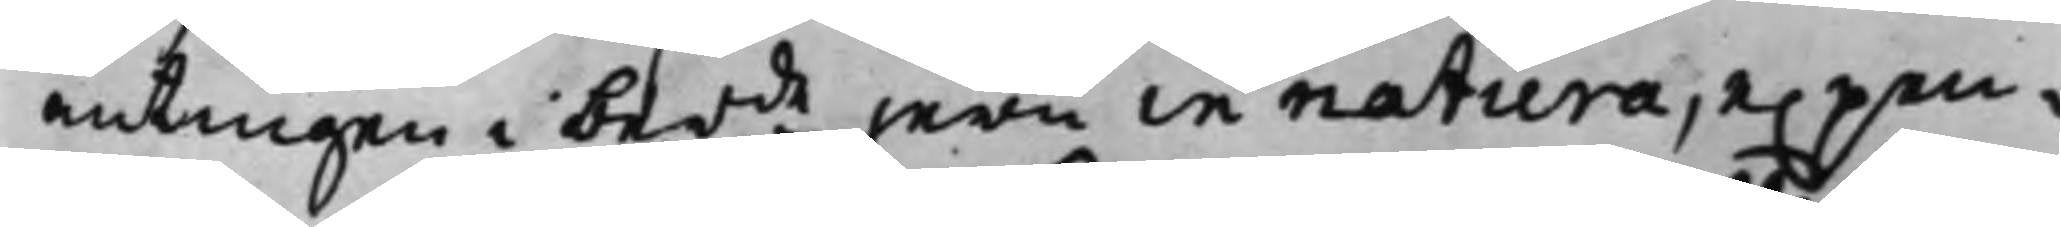antingen i berde jern in natura, e. pen¬
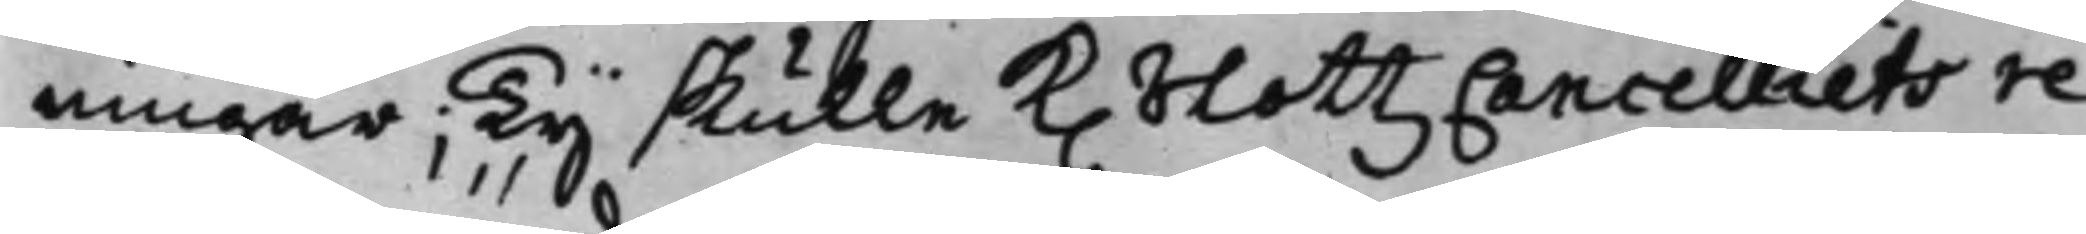ningar; Ty skulle K. SLottzCancelliets re¬
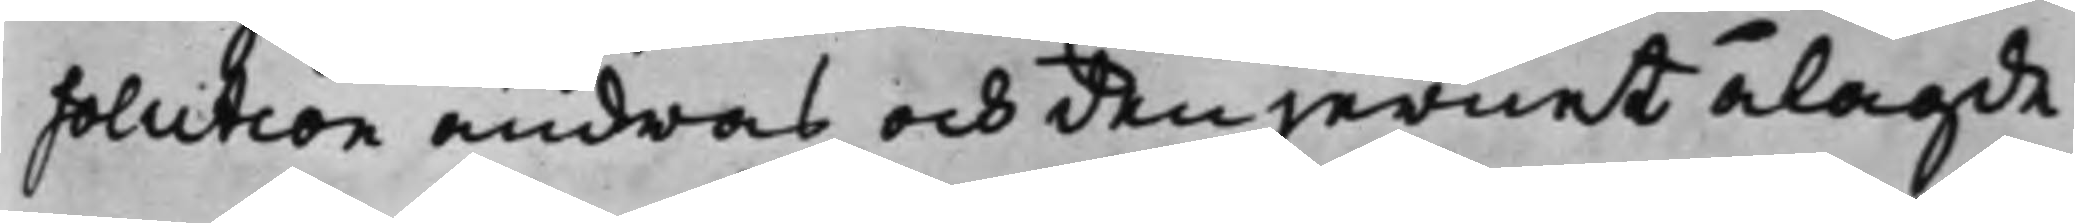solution ändras och den jernet ålagde
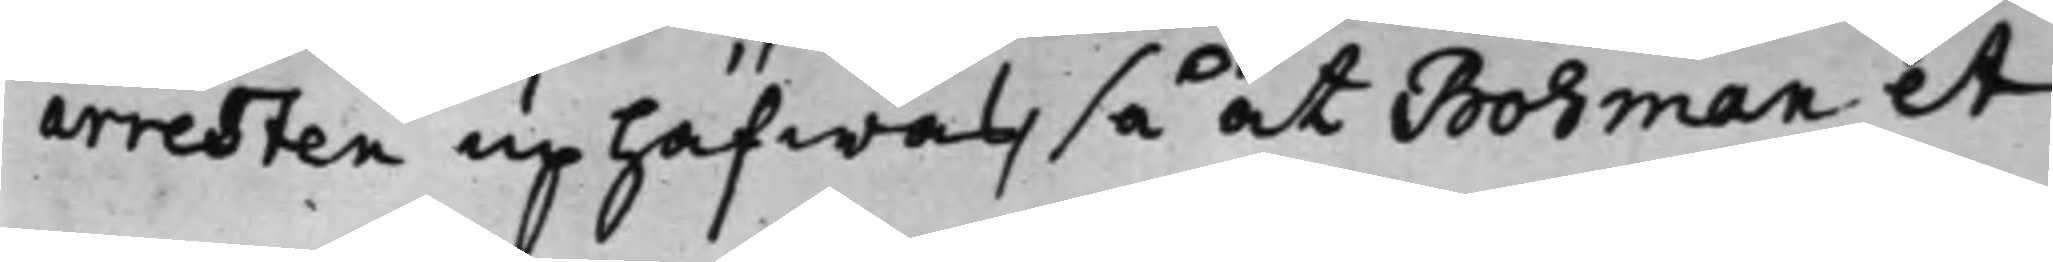arresten uphäfwas, så at Bohman et
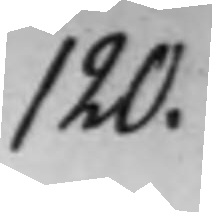120.
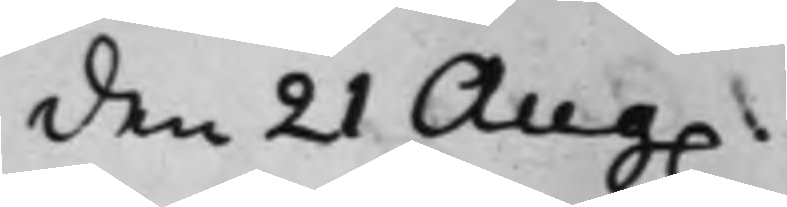den 21 Aug.
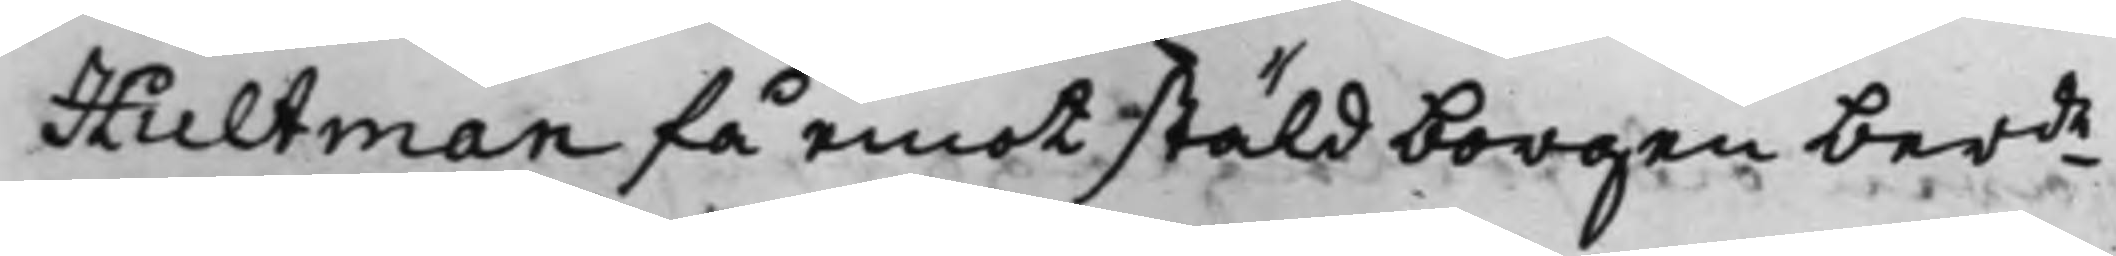Hultman få emot stäld borgen berde
